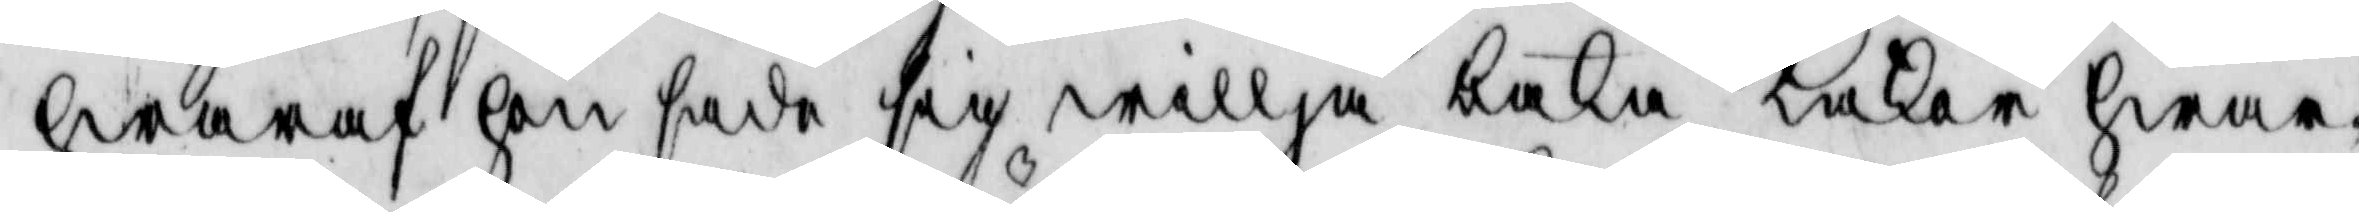hwaraf hon sade sig willia baka kakor hwar¬
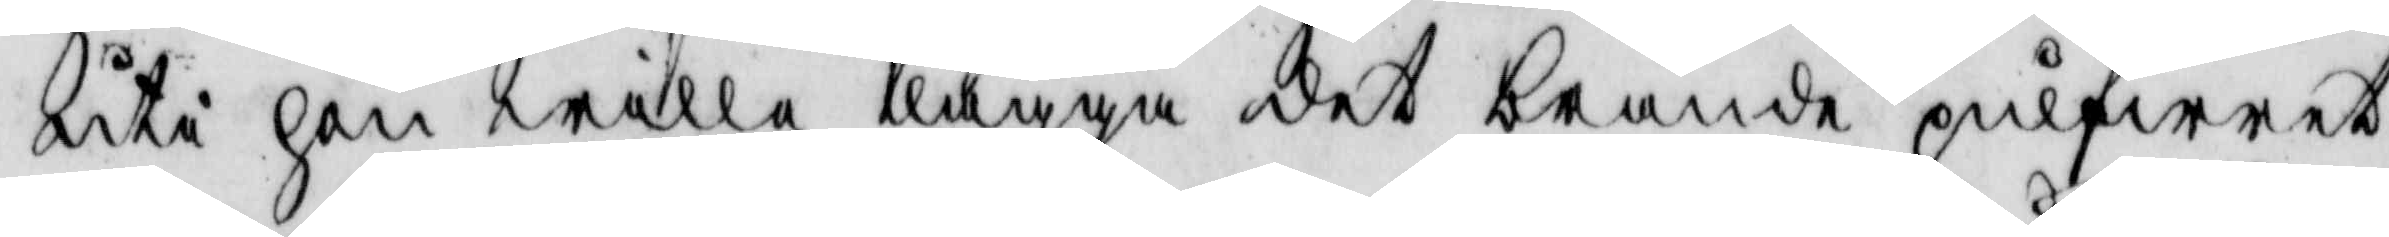uti hon wille lägga det brända pulfwret
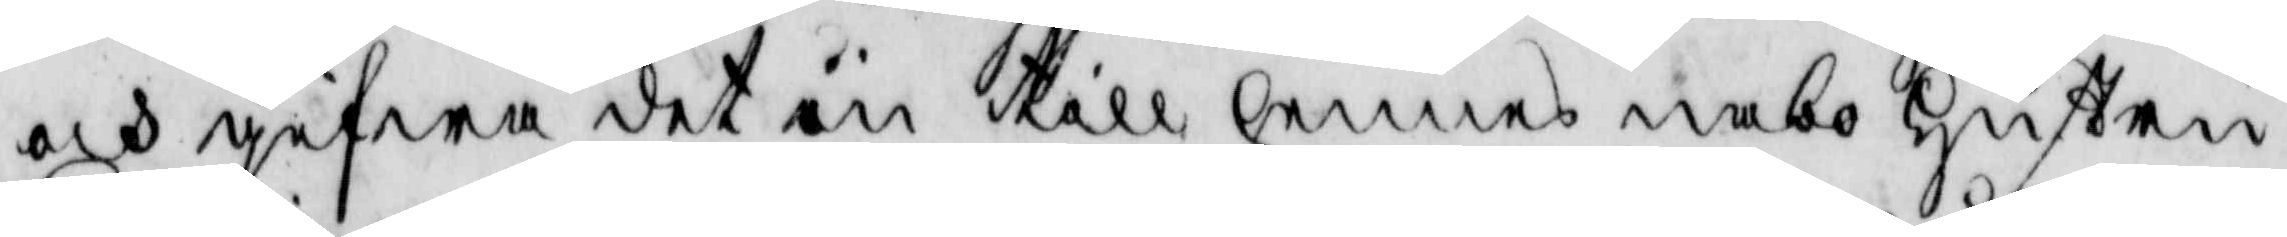och gifwa det in till hennes nabo hustru
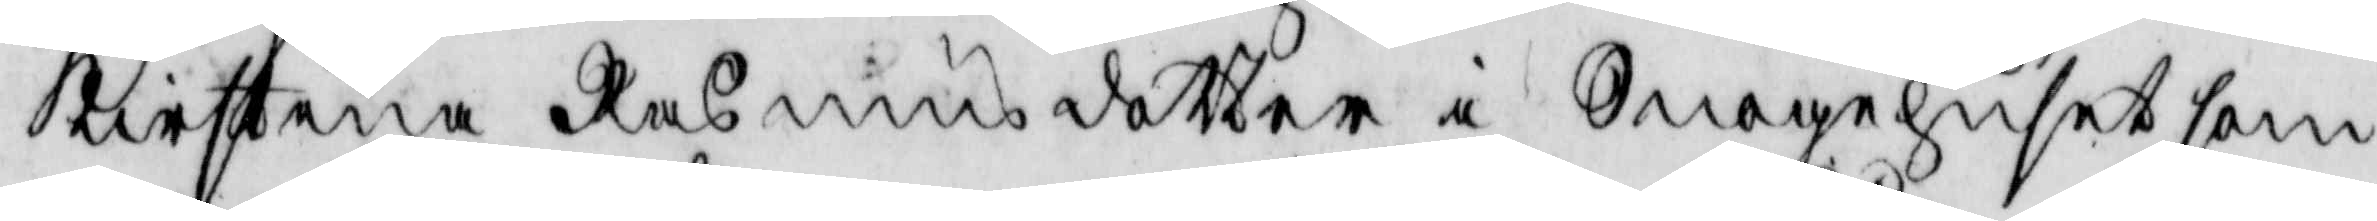Kirstina Rasmusdotter i Snagehuset som
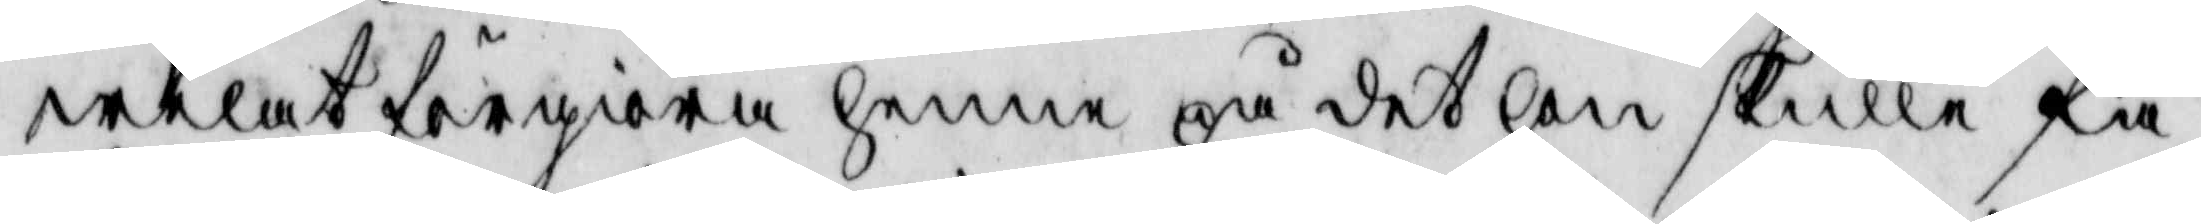welat förgiöra henne på det hon skulle få
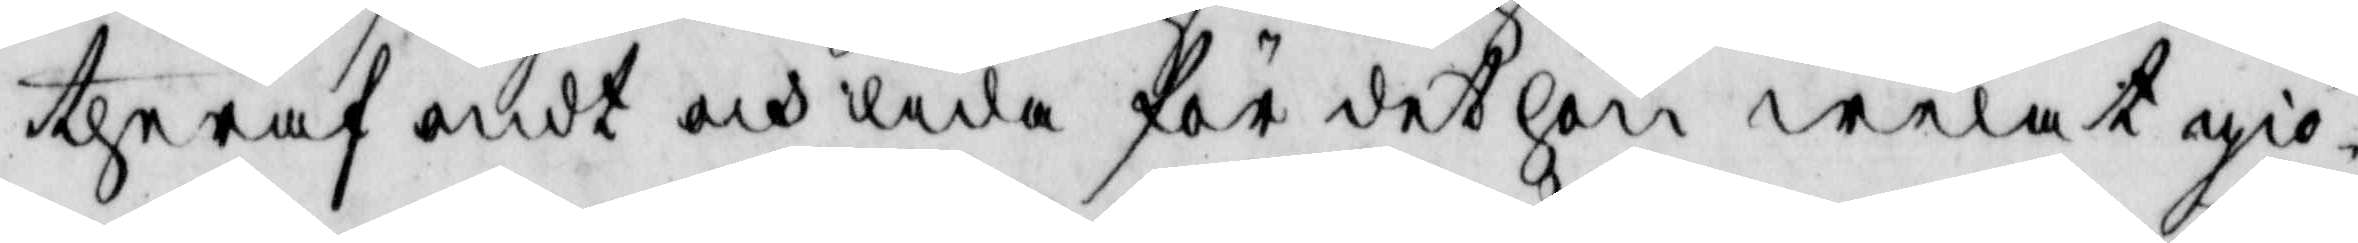theraf ondt och lida för det hon welat giö¬
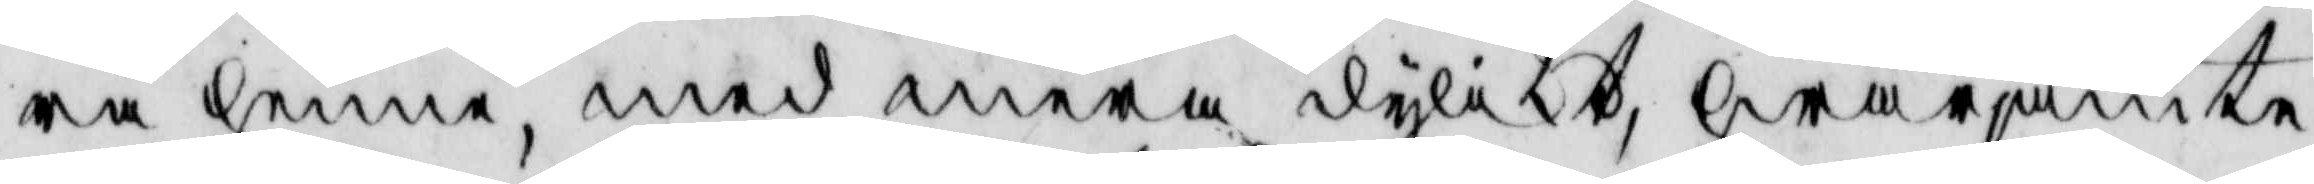ra henne, med mera dylikt, hwarjämte
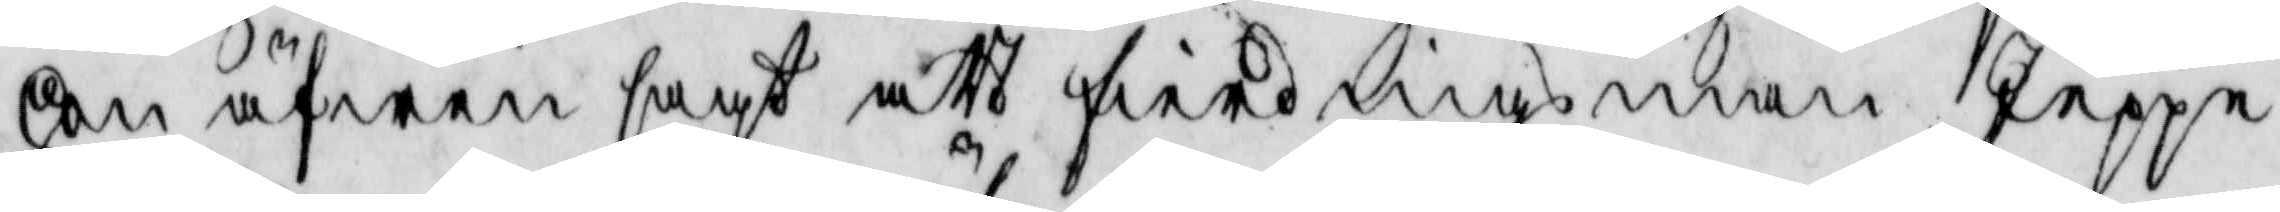hon äfwen sagt att fierdingsman Jeppe
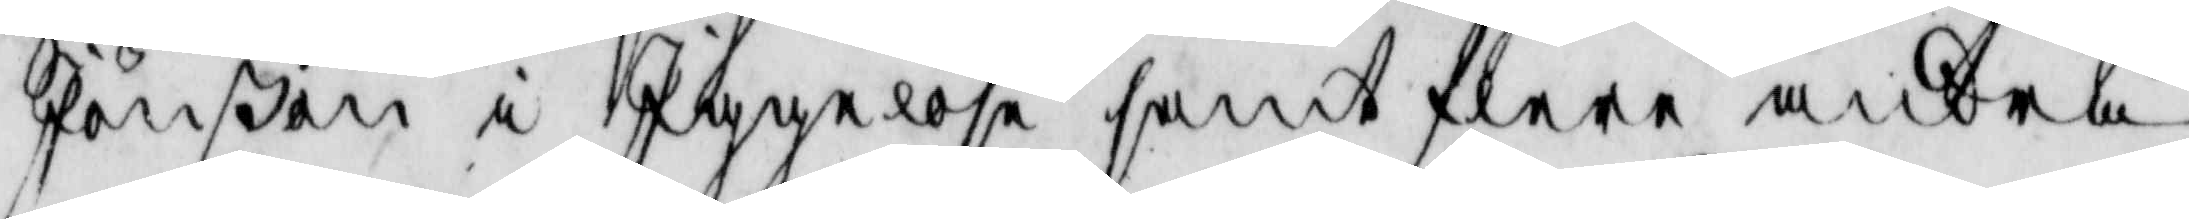Jönßon i Iggelösa samt flere andra
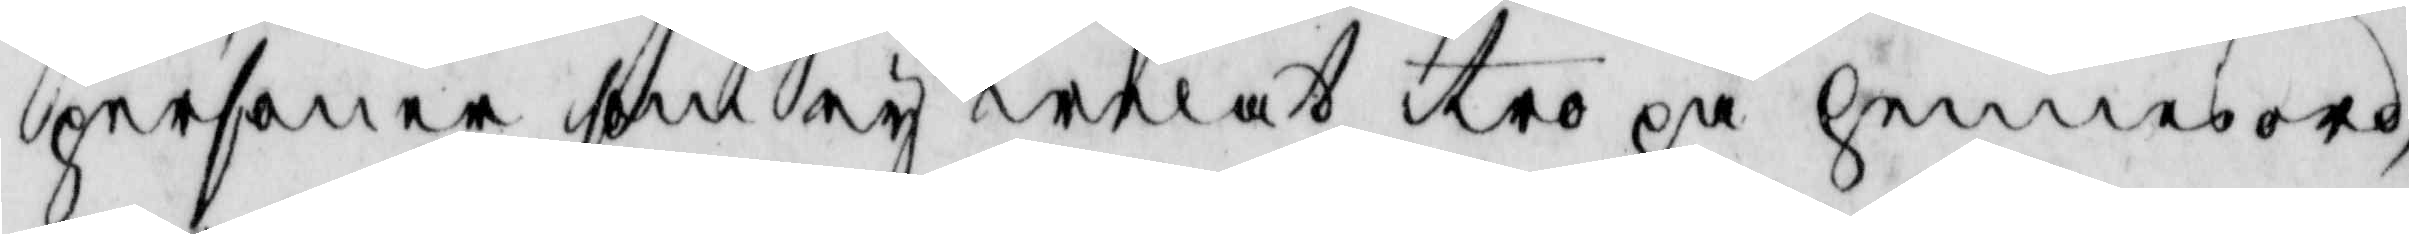personer som ey welat tro på henne sord
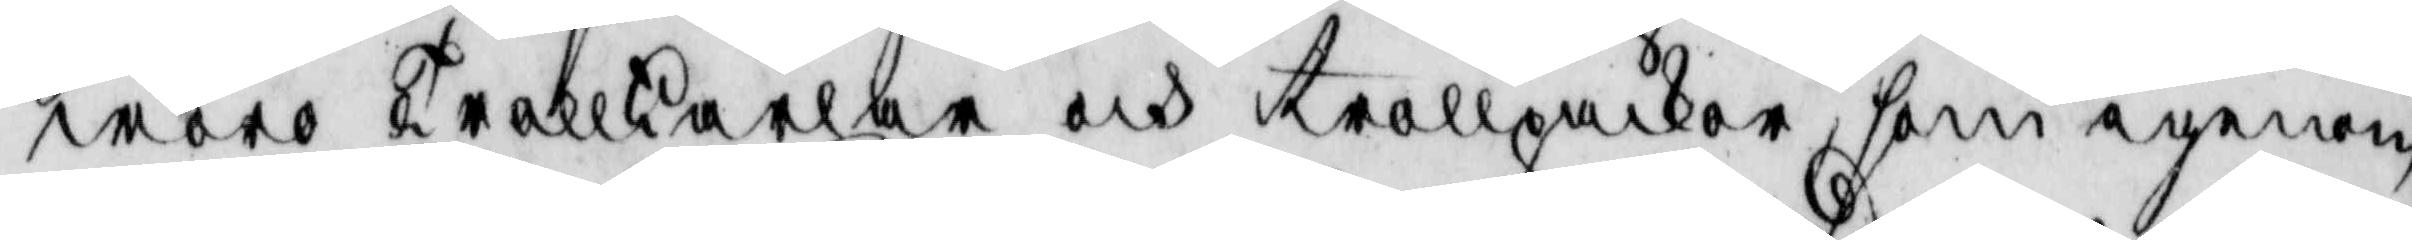woro Trollkarlar och trollpackor, som igenom
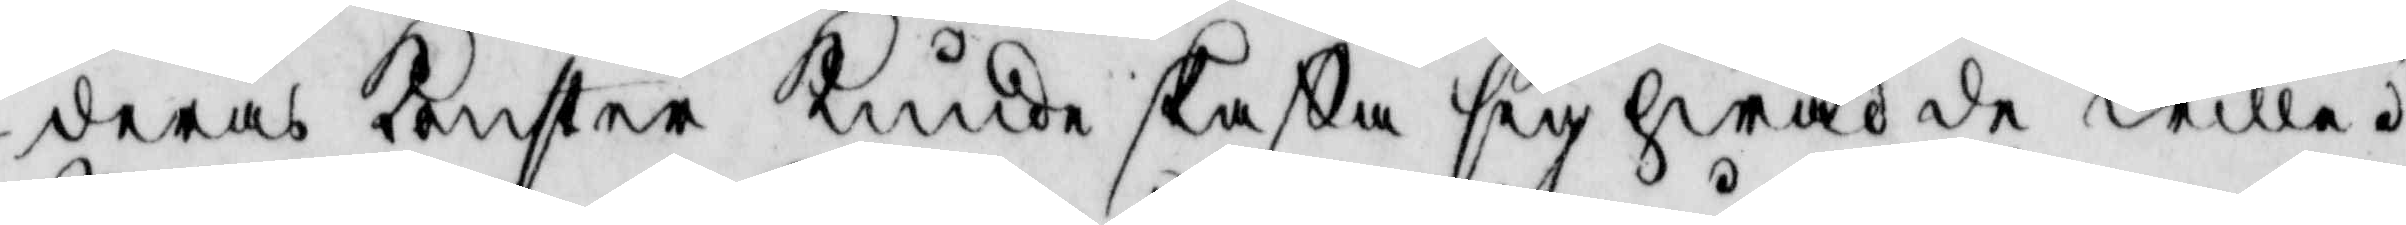deras konster kunde skaffa sig hwad de wille.
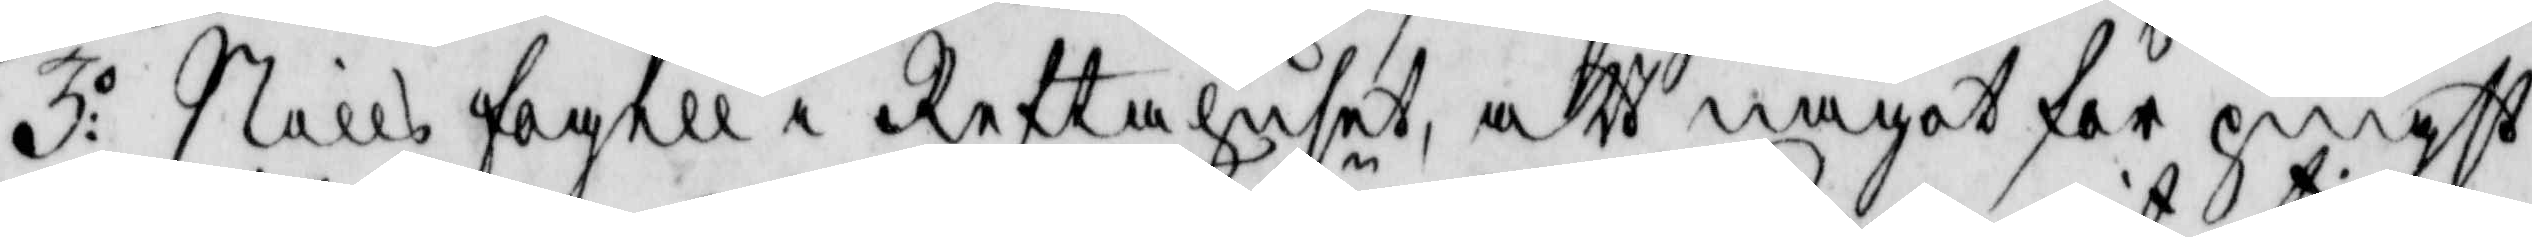3:o Nills fogell i Reftahuset, att något för pingst
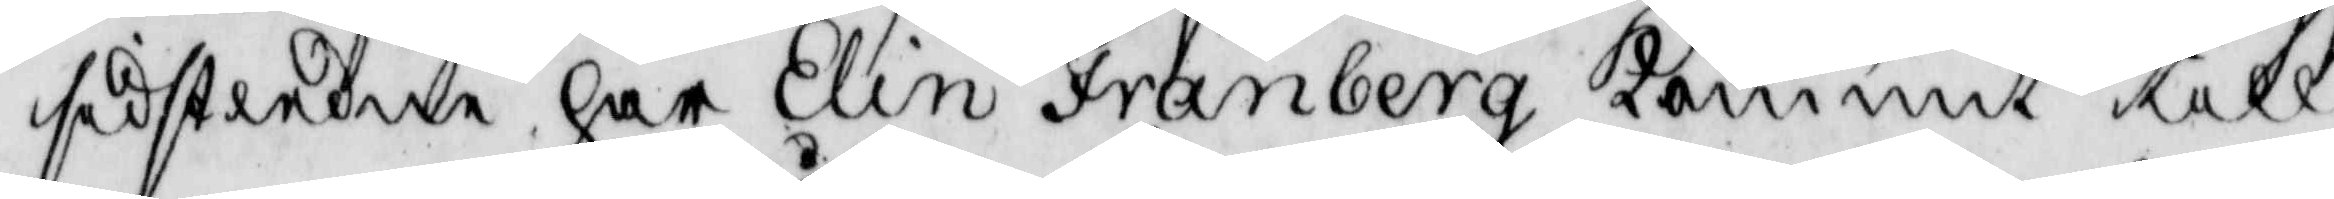sidstledne har Elin Fränberg kommit till
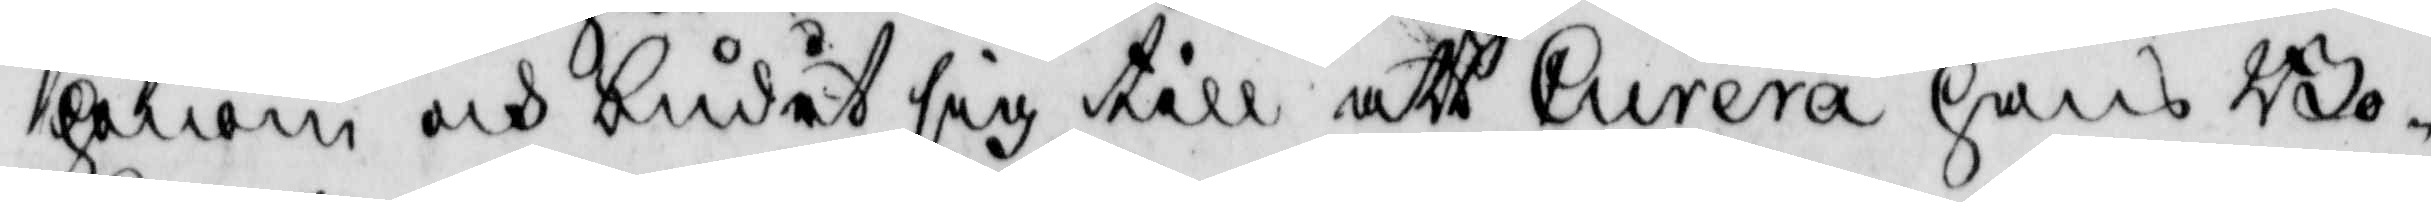honom och budet sig till att Curera hans Bo¬
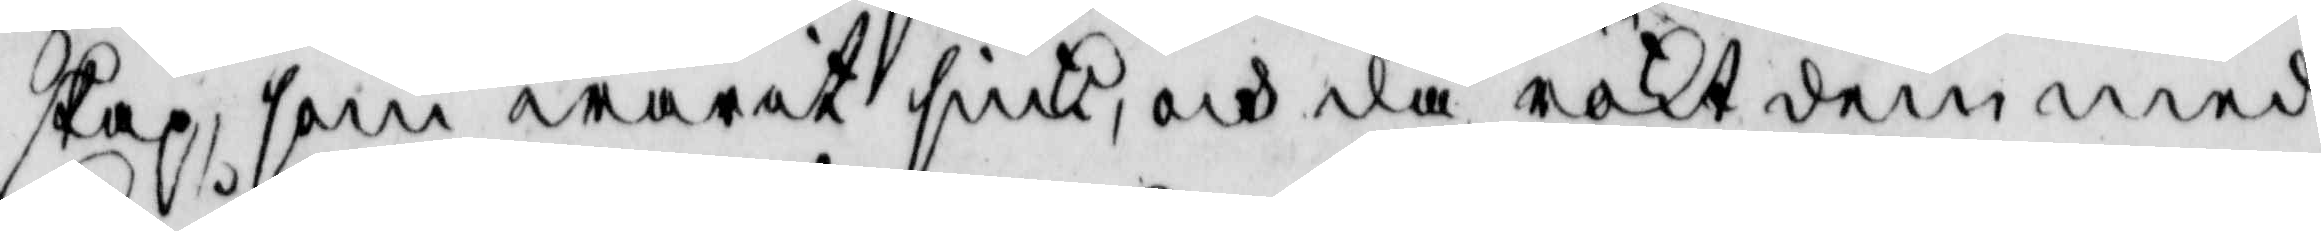skap, som warit siuk, och då rökt dem med
